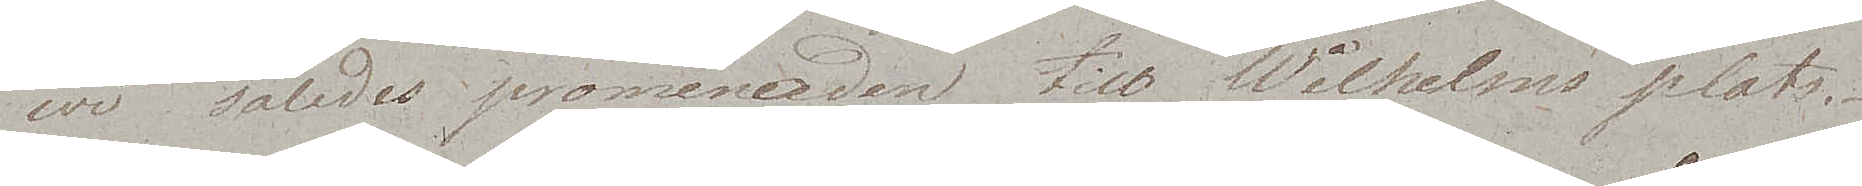wi således promenaden till Wilhelms plats.
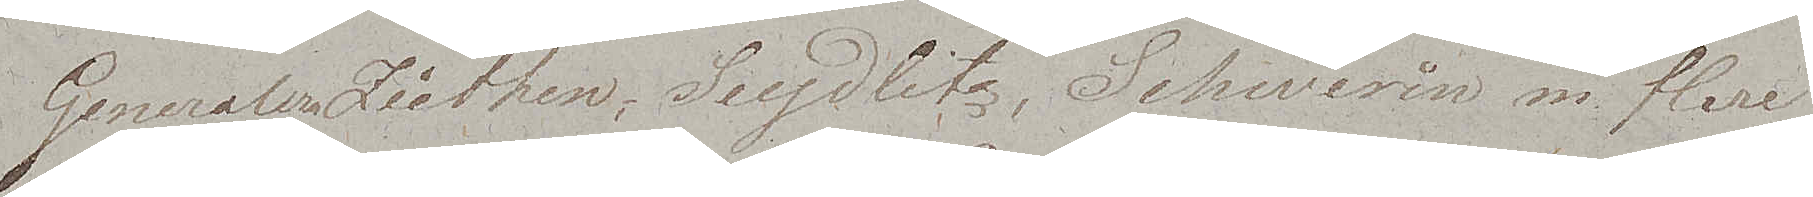Generalerna Ziethen, Seydlitz, Schwerin m. flere
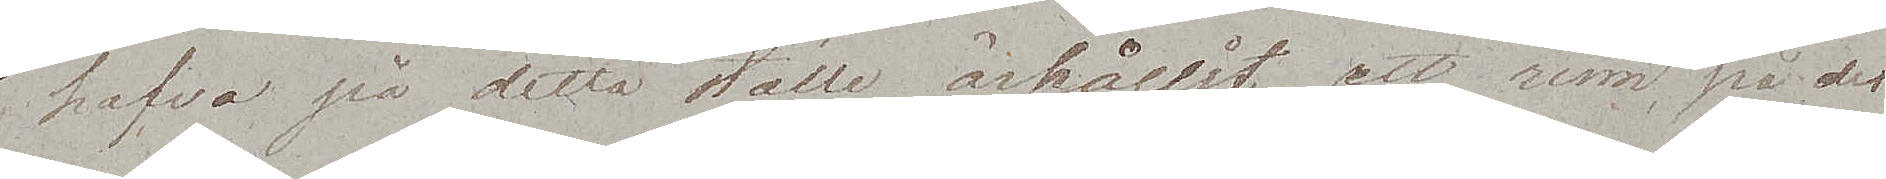hafva på detta ställe ärhållit att rum, på det
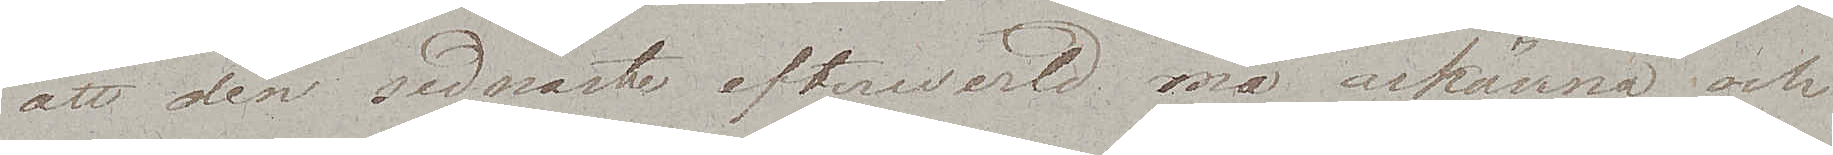att den sednaste efterwärld må ärkänna och
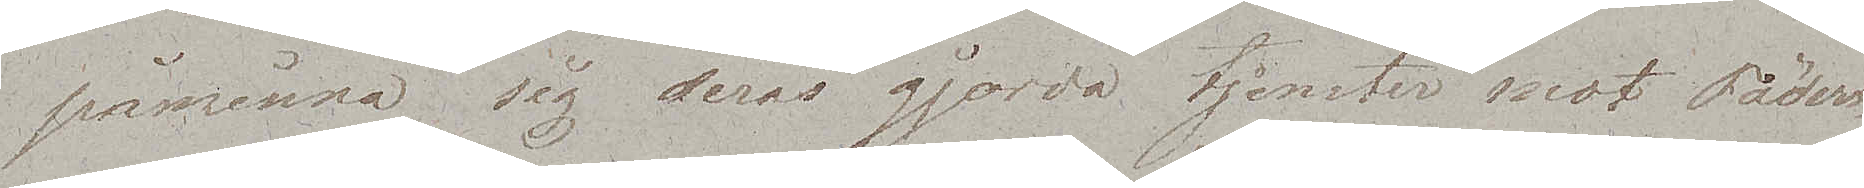påminna sig deras gjorda tjenster mot  Fäder¬,
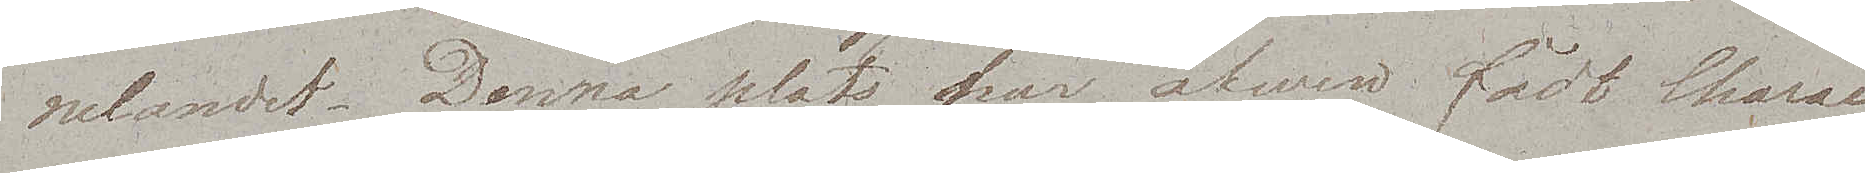nelandet. Denna plats har äfwen fådt Charac¬
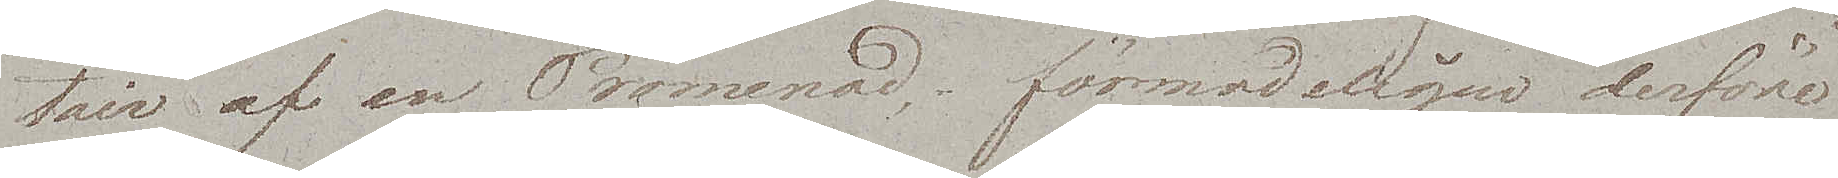tair af en Promenad, förmodeligen derföre
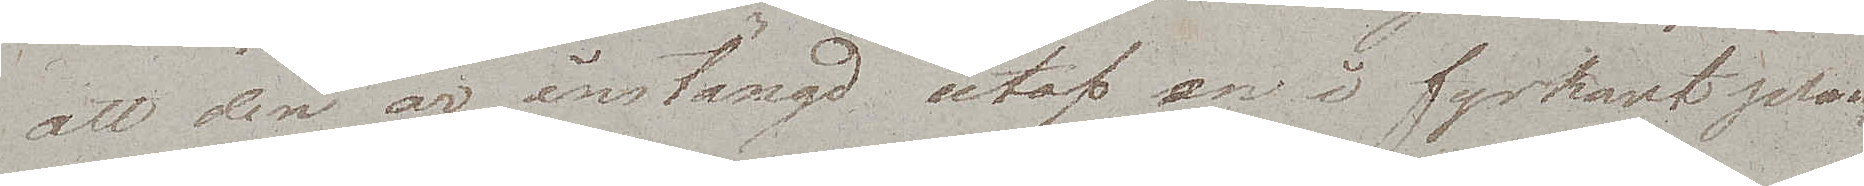att den är instängd utaf en i fyrkant plan¬
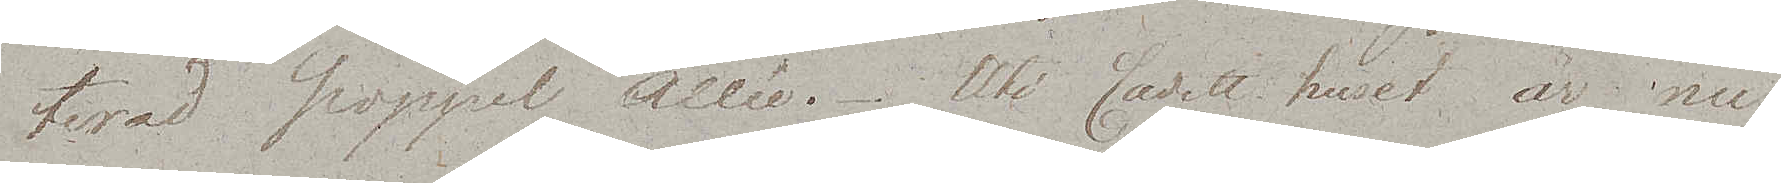terad poppel Allée. Uti Cadett huset är nu
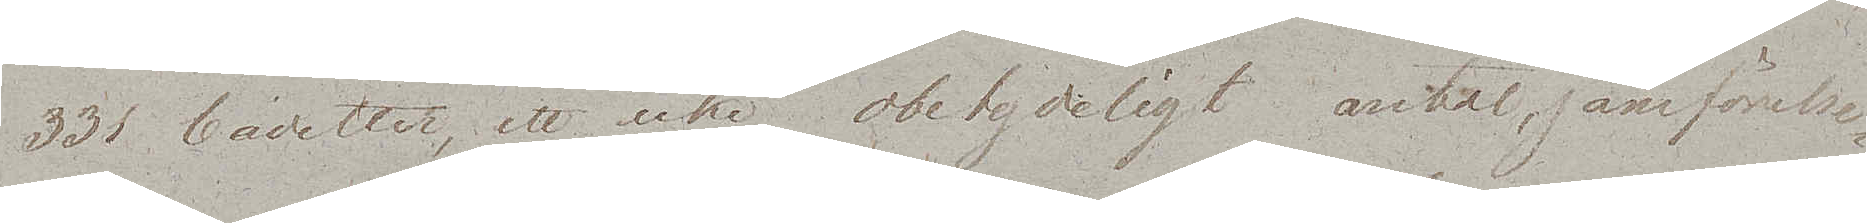331 Cadetter, ett icke obetydeligt antal, jämförelse¬
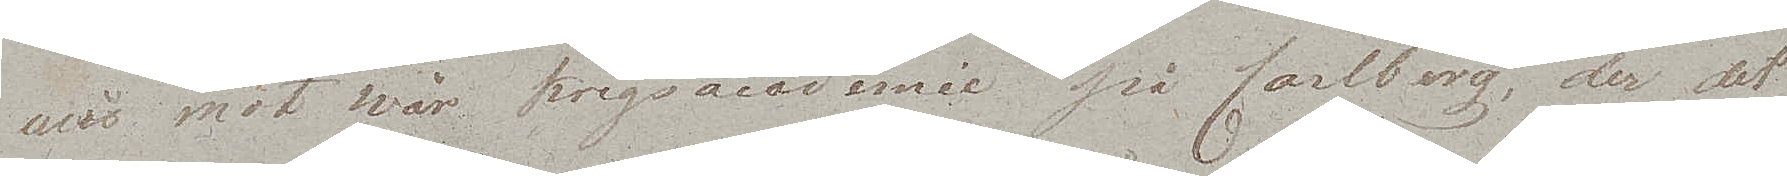wis mot wår krigsacademie på Carlberg, der det
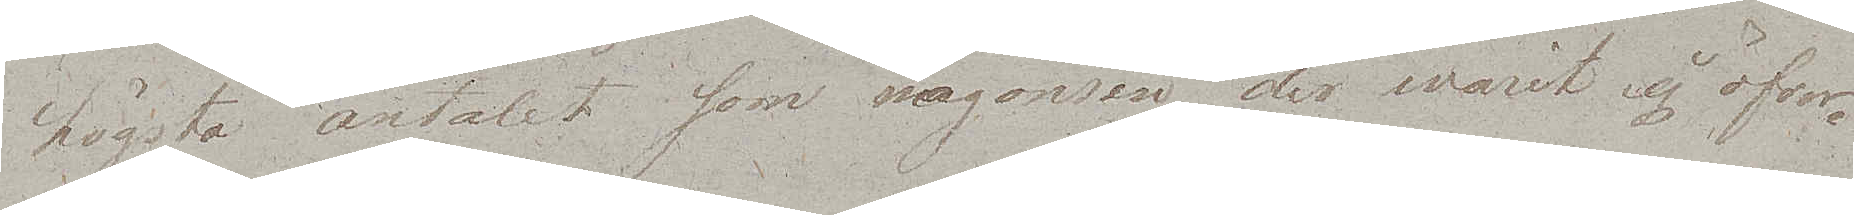högsta antalet som någonsin der warit ej öfver¬
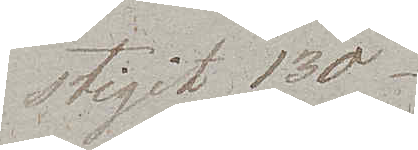stigit 130.
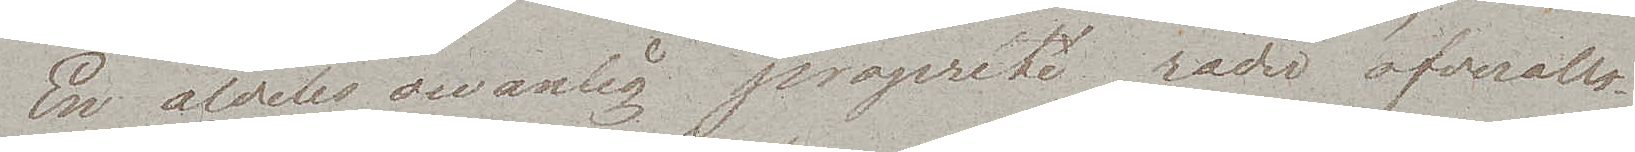En aldeles owanlig propreté råder öfveralt.
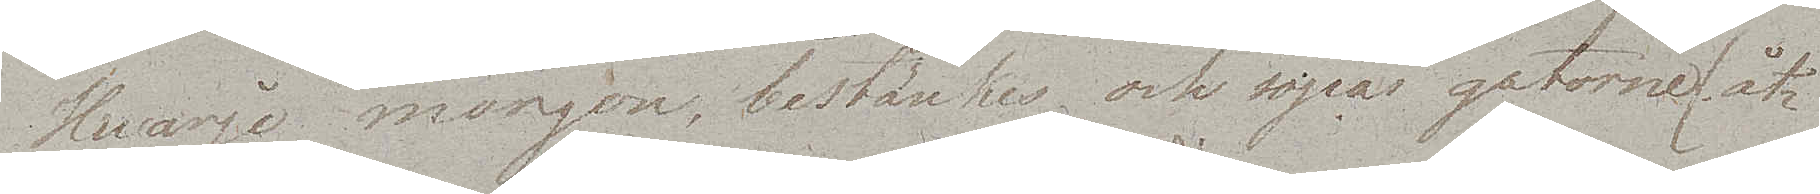Hvarje morgon, bestänkes och sopas gatorne (åt¬
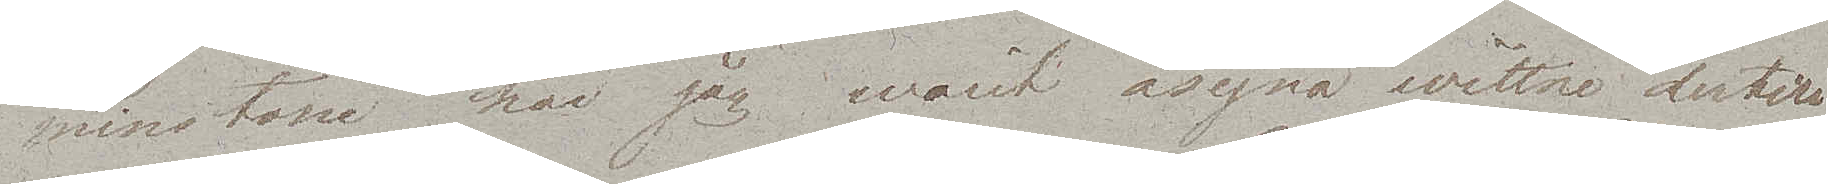minstone har jag warit åsyna wittne dertill
